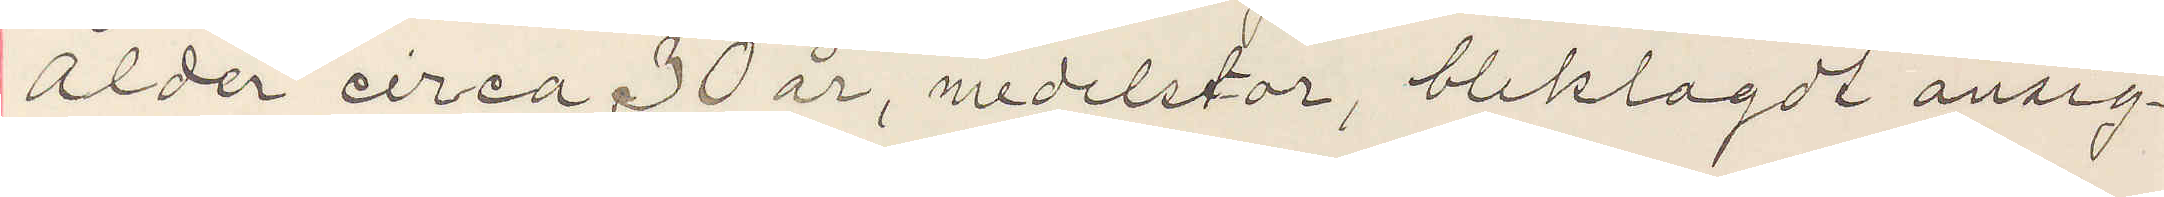ålder circa 30 år, medelstor, bleklagdt ansig¬
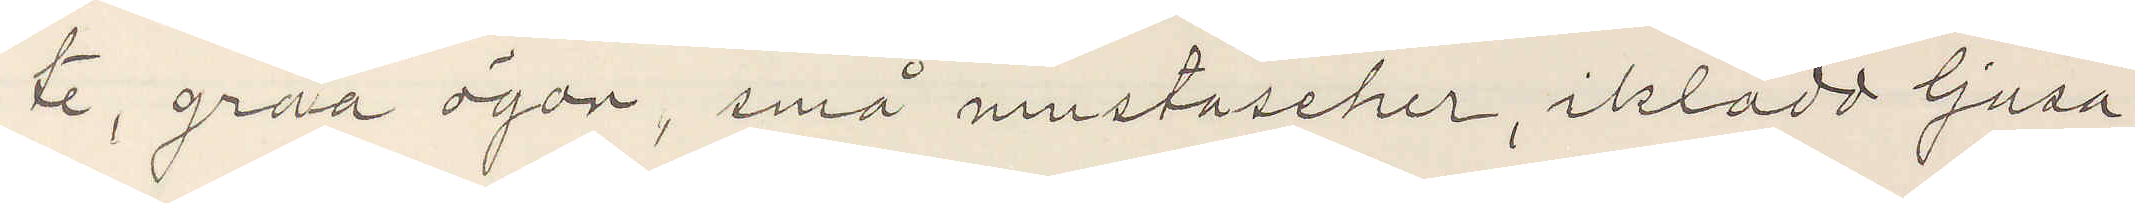te, gråa ögon, små mustascher, iklädd ljusa
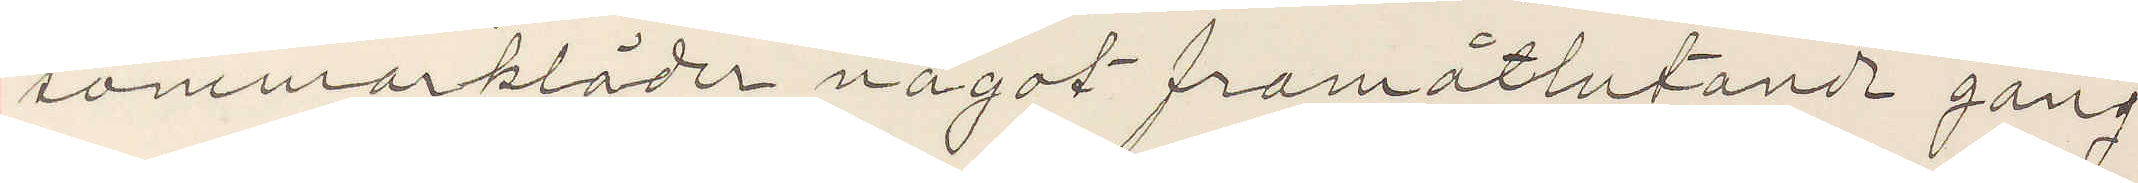sommarkläder något framåtlutande gång
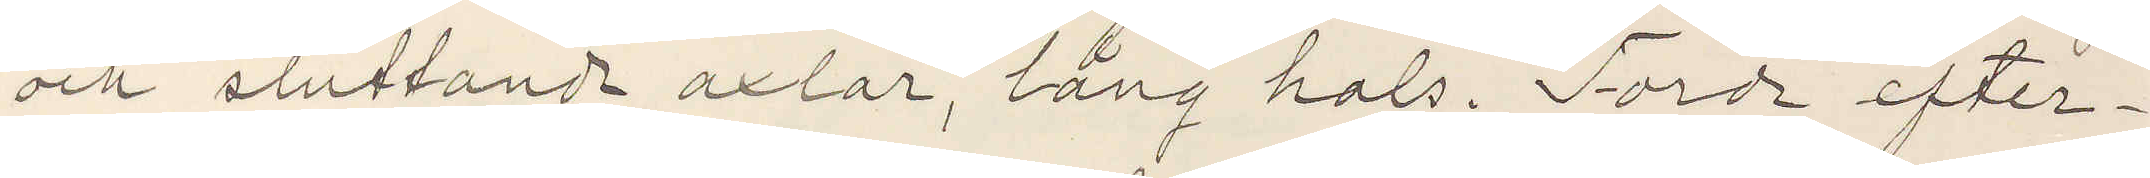och sluttande axlar, lång hals. Torde efter¬
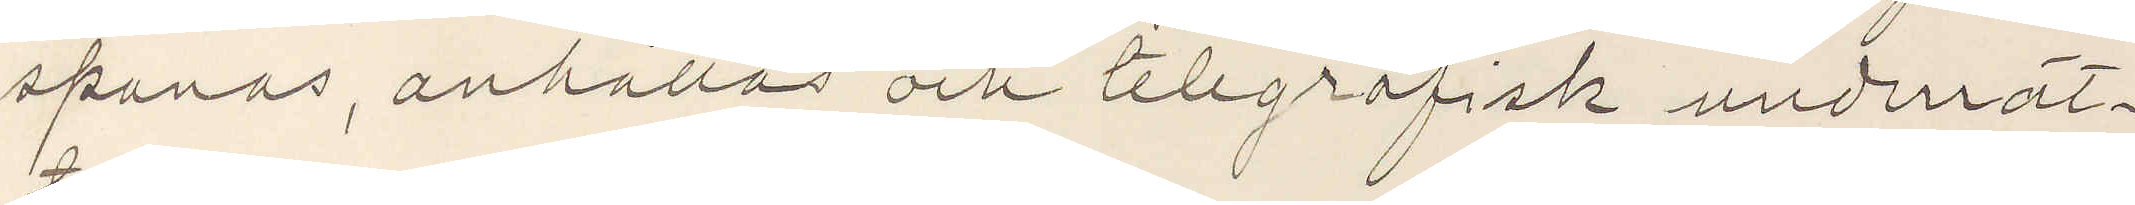spanas, anhållas och telegrafisk underrät¬
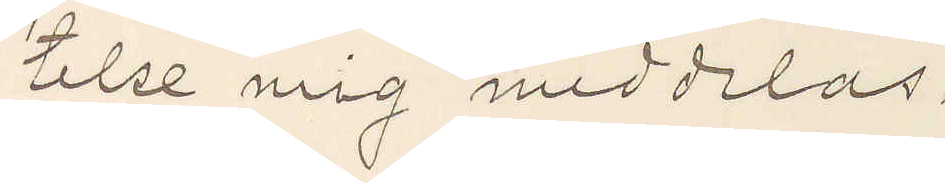telse mig meddelas.
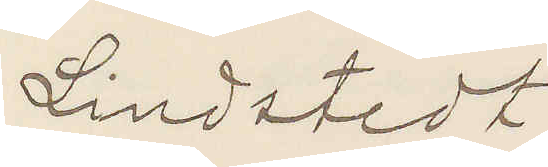Lindstedt
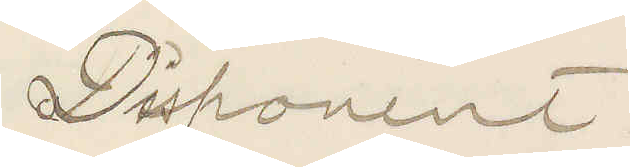Disponent.
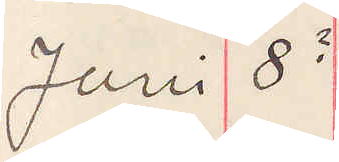Juni 8?
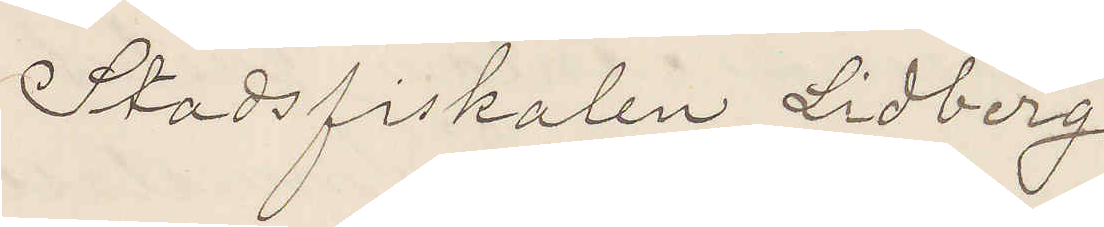Stadsfiskalen Lidberg
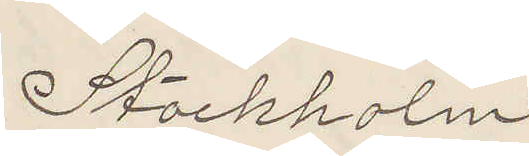Stockholm
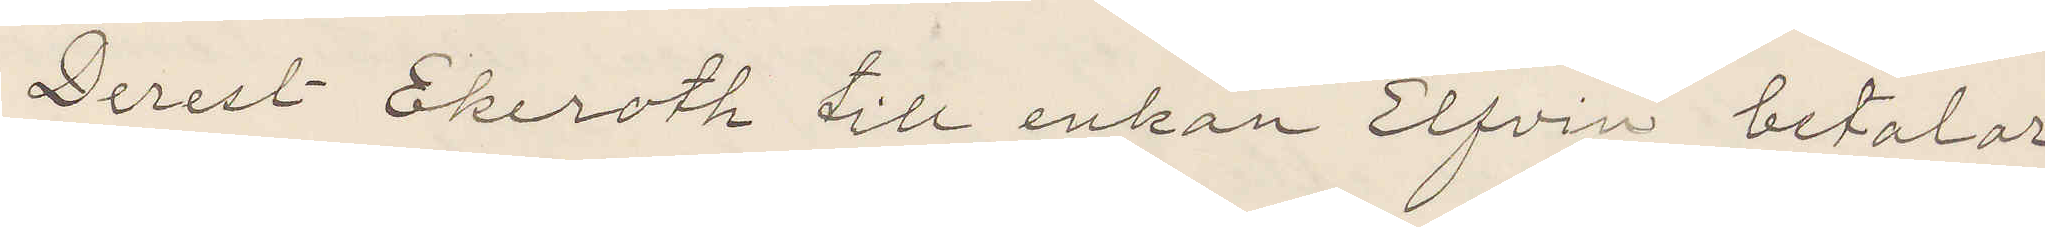Derest Ekeroth till enkan Elfvin betalar
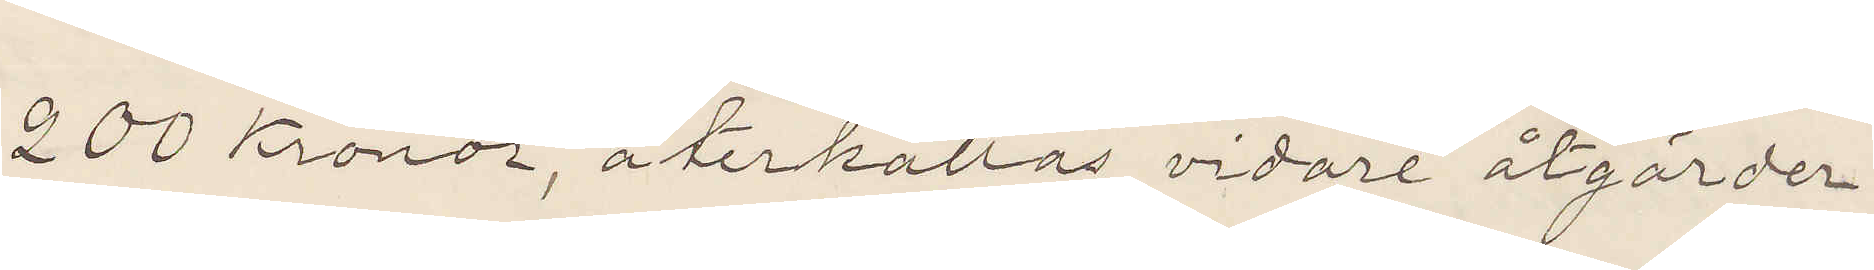200 Kronor, återkallas vidare åtgärder.
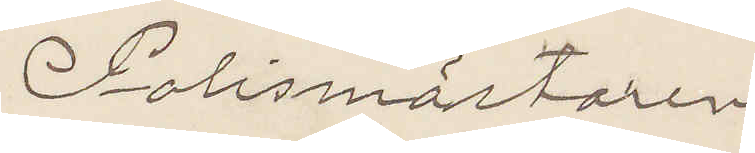Polismästaren
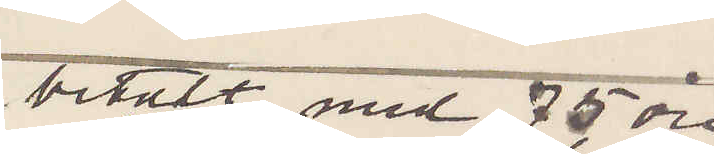betalt med 75 öre
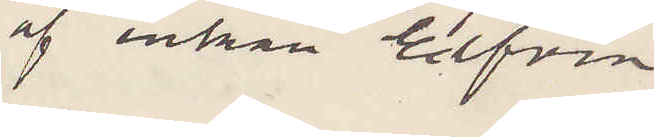af enkan Elfvin
